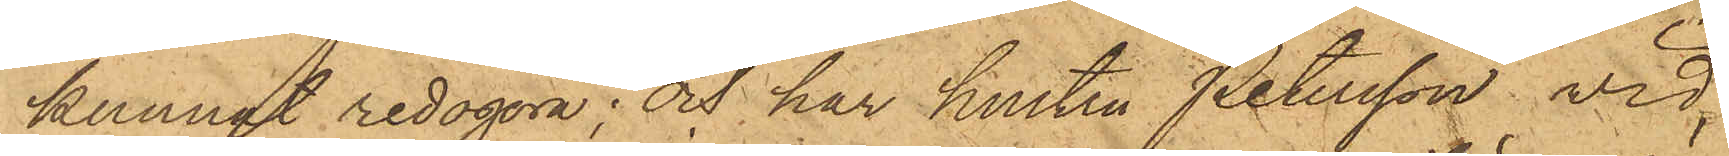kunnat redogöra; och har hustru Petersson vid
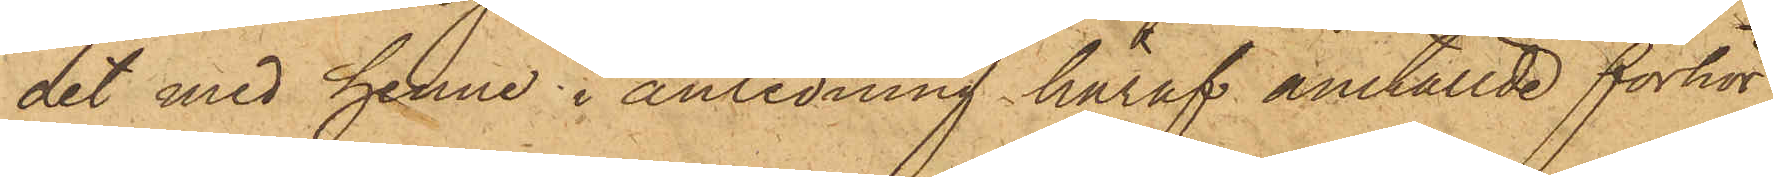det med henne i anledning häraf anställde förhör
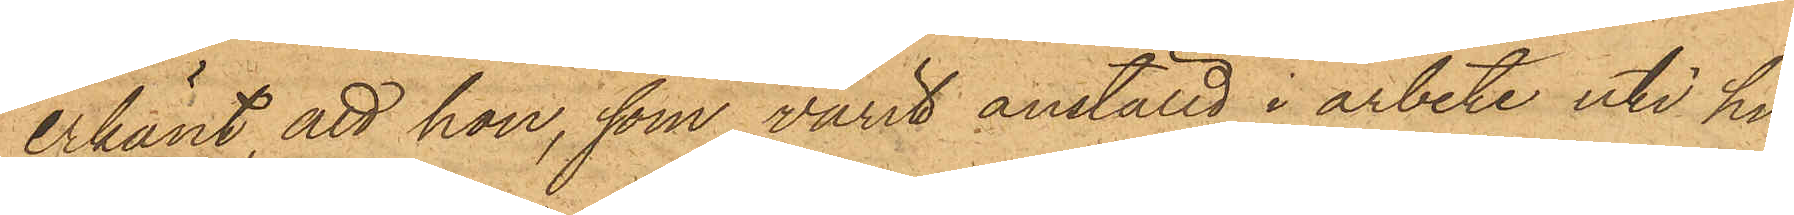erkänt, att hon, som varit anställd i arbete uti hu¬
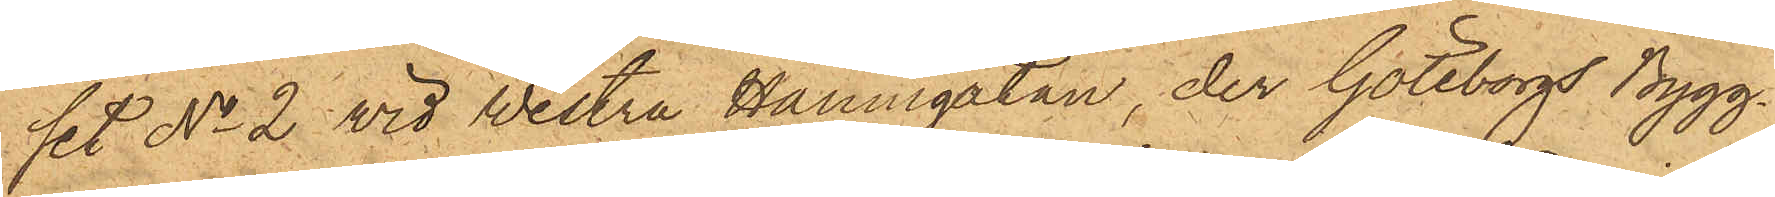set No 2 vid Westra Hamngatan, der Göteborgs Bygg¬
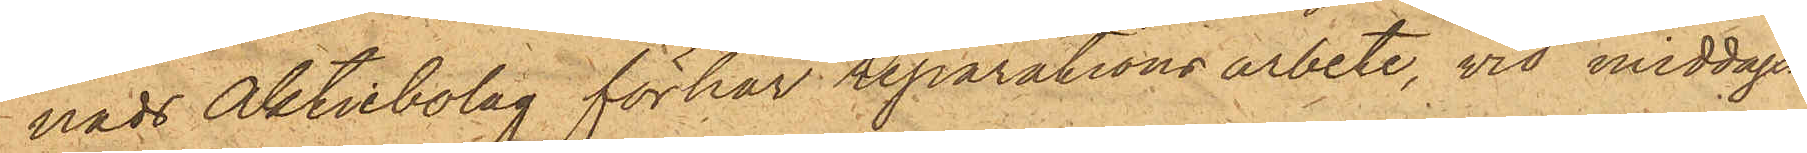nads Aktiebolag förhar reparationsarbete, wid middags¬
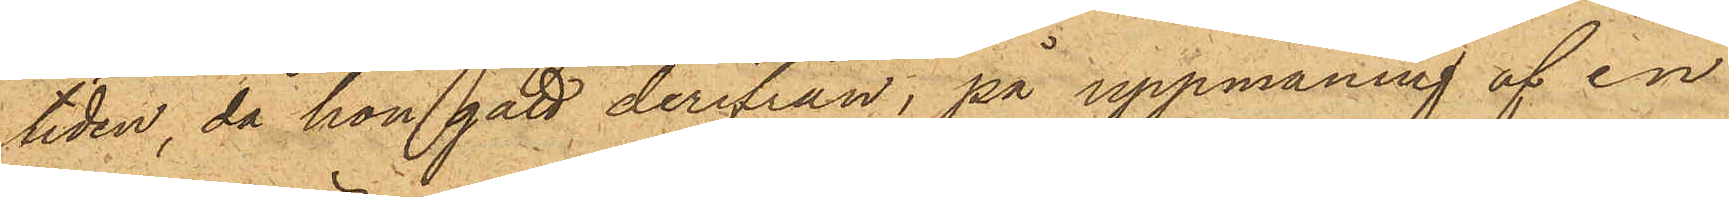tiden, då hon gått derifrån, på uppmaning af en
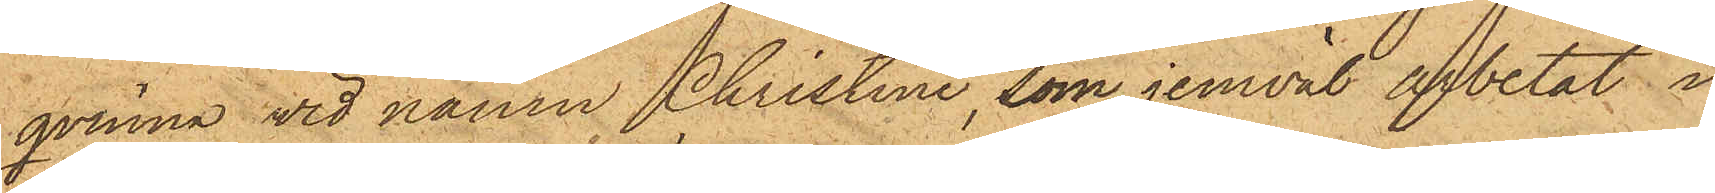qvinna vid namn Christina, som jemväl afbetat i
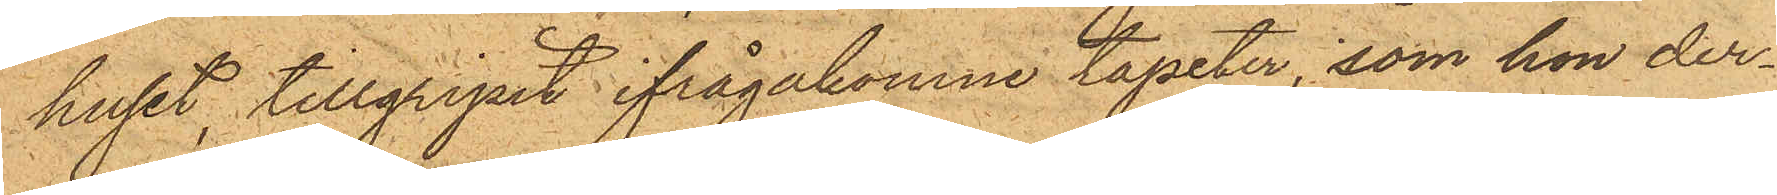huset, tillgripit ifrågakomne tapeter, som hon der¬
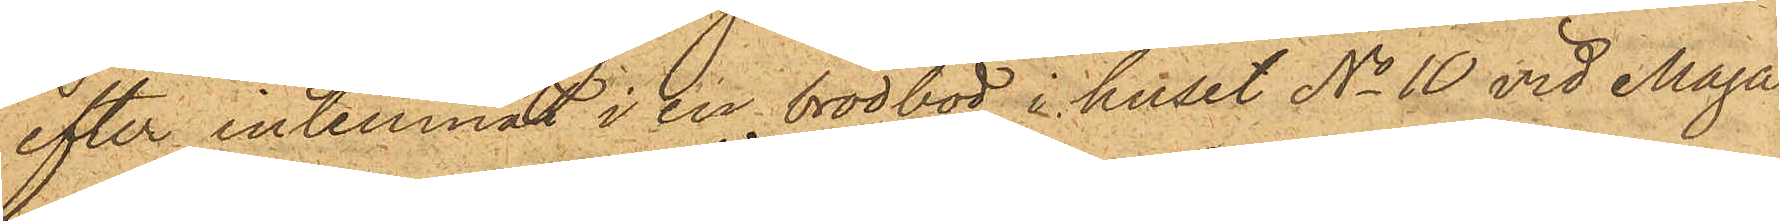efter inlemnat i en brödbod i huset No 10 vid Maga¬
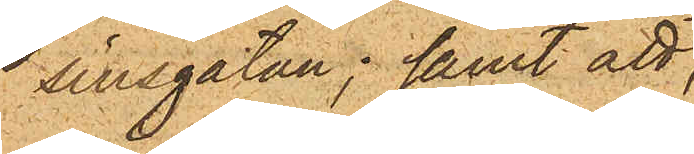sinsgatan; samt att
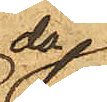då
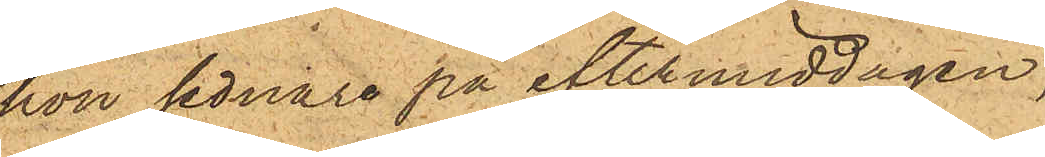hon sednare på eftermiddagen,
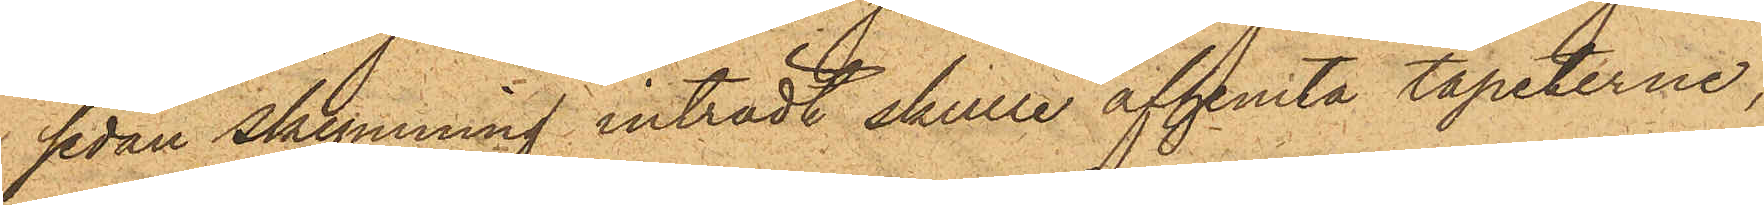sedan skymnning inträdt, skulle afhemta tapeterne,
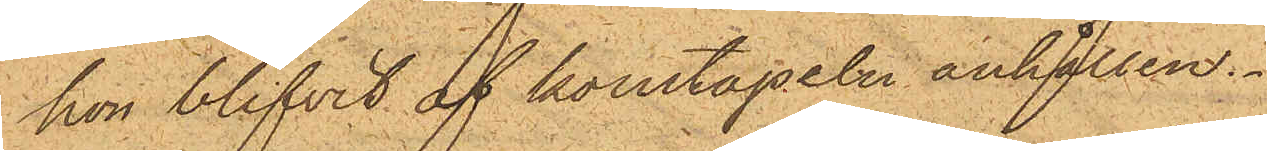hon blifvit af konstapeln anhållen.
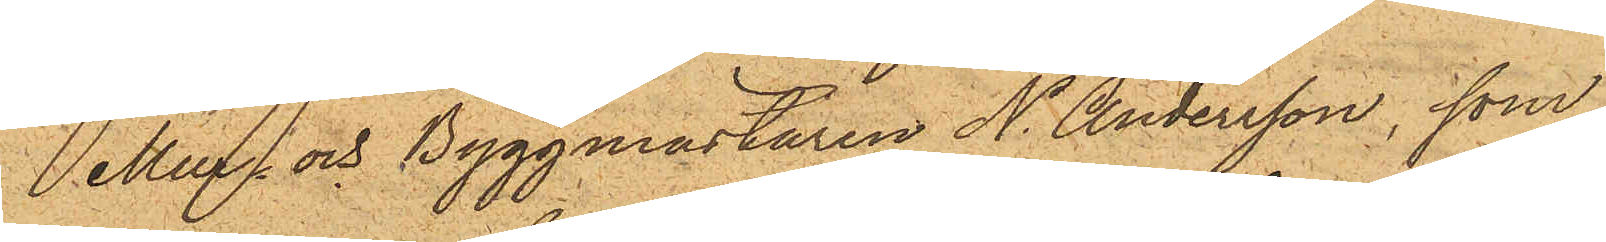Mur- och Byggmästaren N. Andersson, som
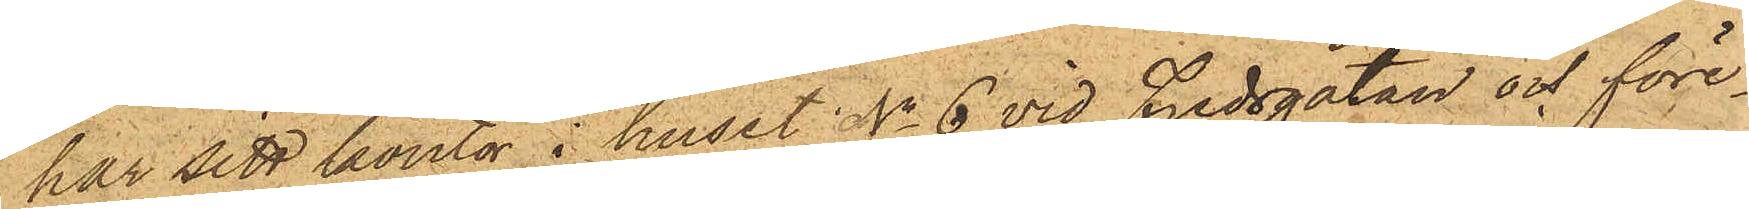har sitt kontor i huset No 6 vid Fredsgatan och före¬
